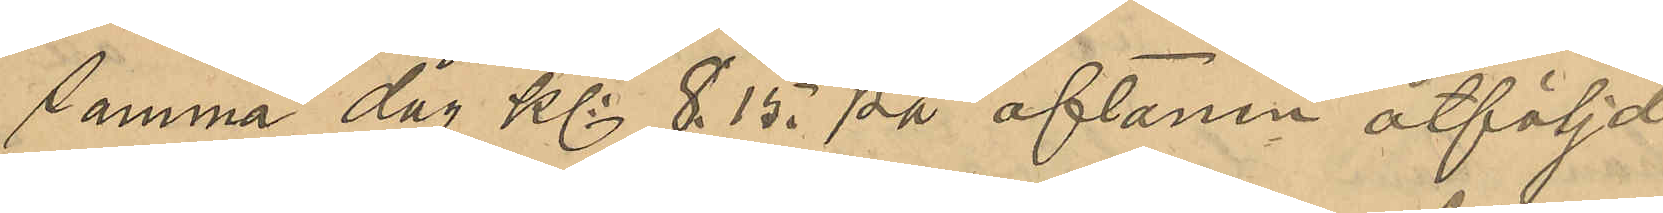samma dag Kl: 8.15 på aftonen åtföljd
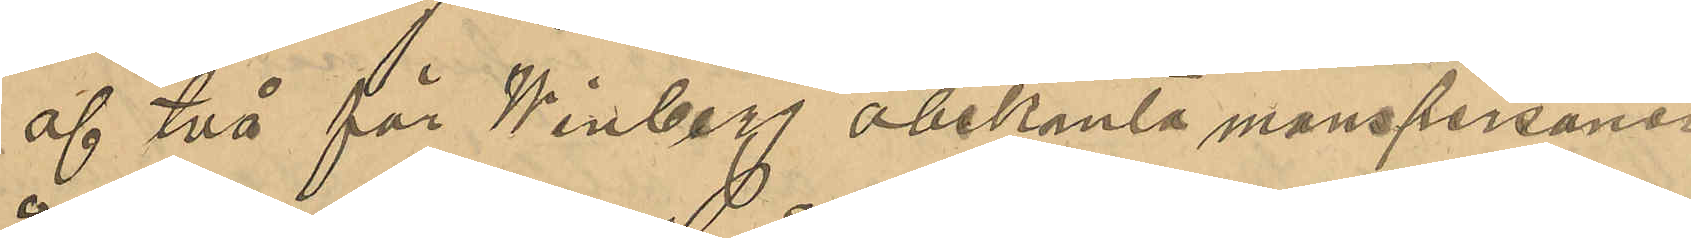af två för Winbeg obekanta manspersoner
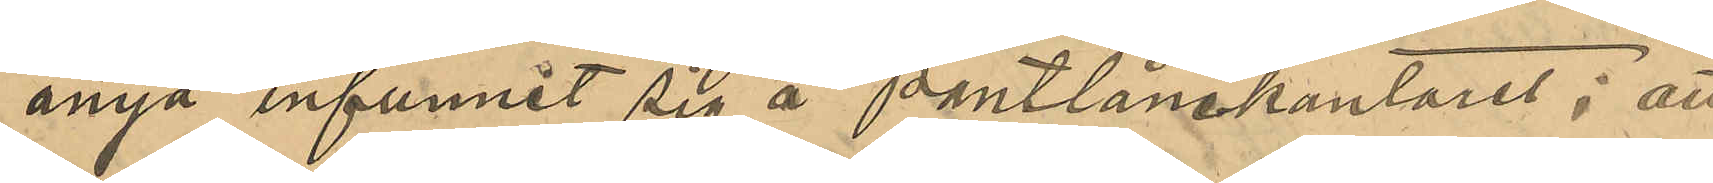ånyo infunnit sig å pantlånekontoret; att
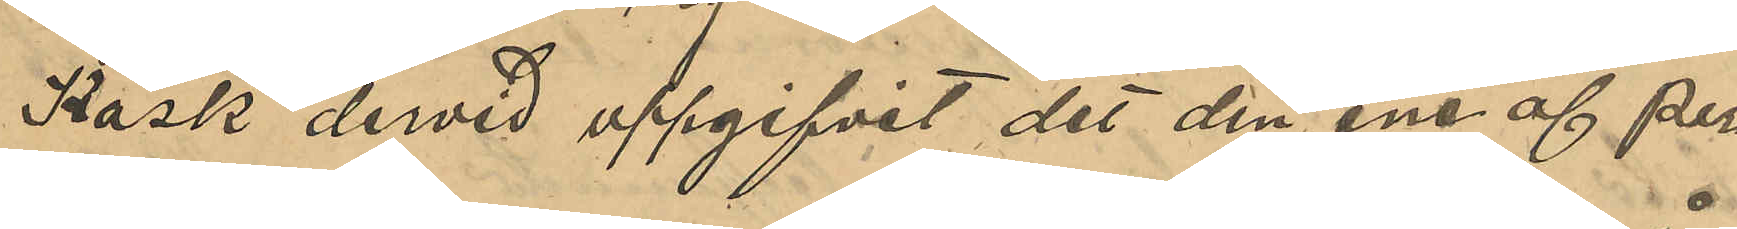Kask dervid uppgifvit det den ene af per¬
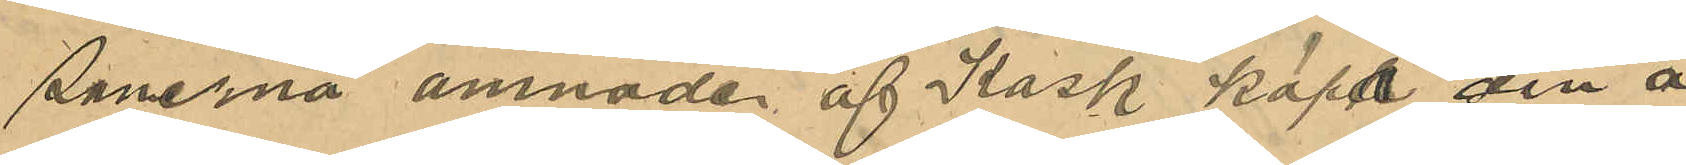sonerna amnade af Kask köpa den å
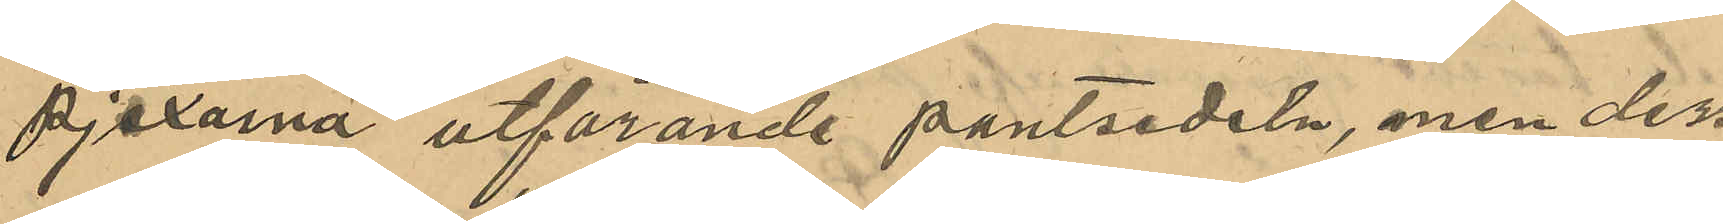pjexorna utförande pantsedeln, men dess¬
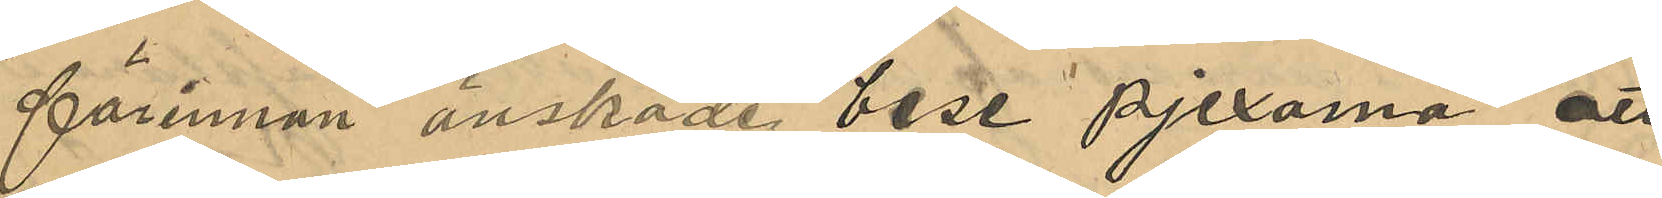förinnan önskade bese pjexorna att
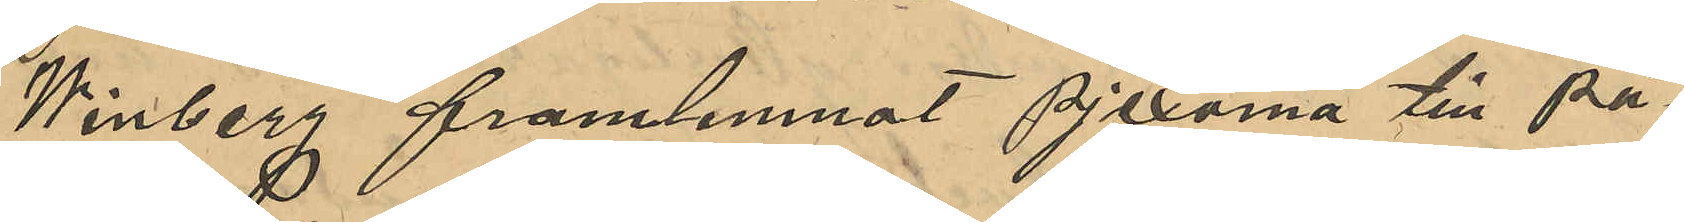Winberg framlemnat pjexorna till på¬
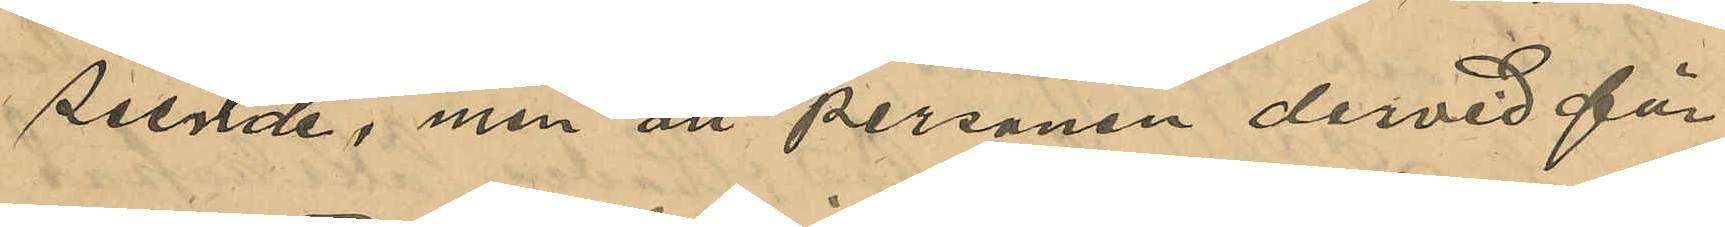seende, men att personen dervid för¬
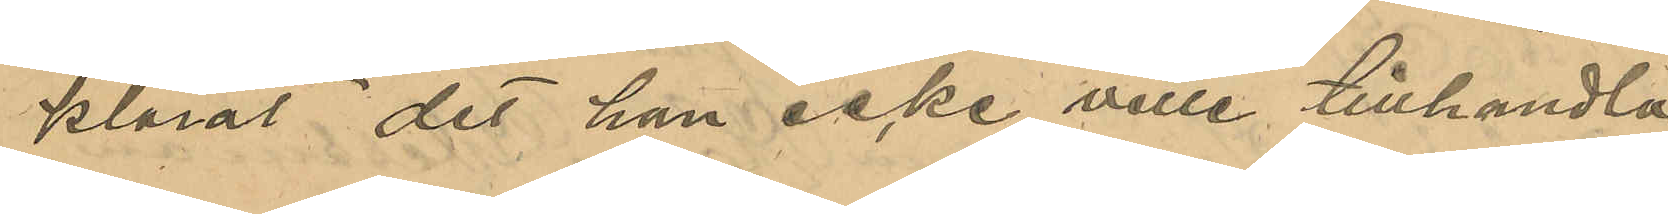klarat det han icke ville tillhandla
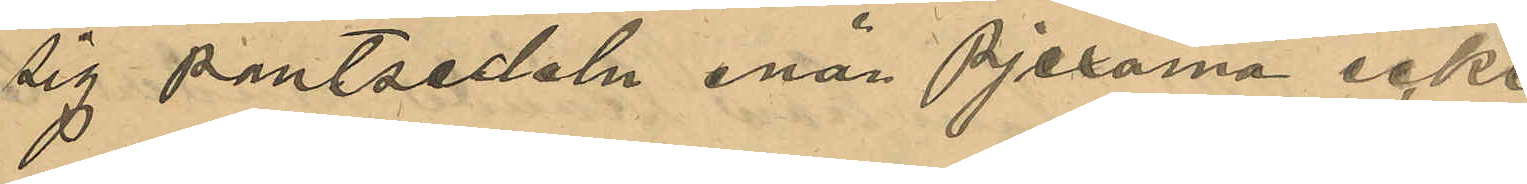sig pantsedeln enär pjexorna icke
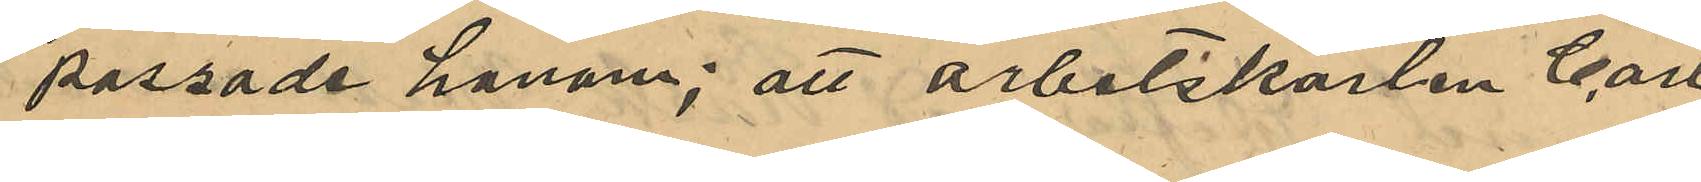passade honom; att arbetskarlen Carl
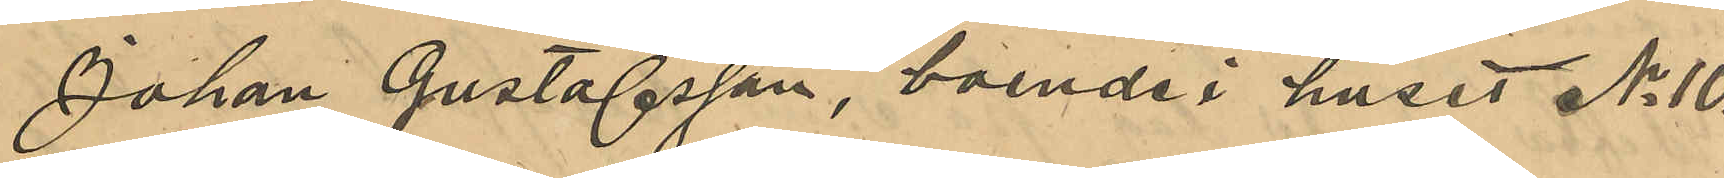Johan Gustafsson, boende i huset No 10
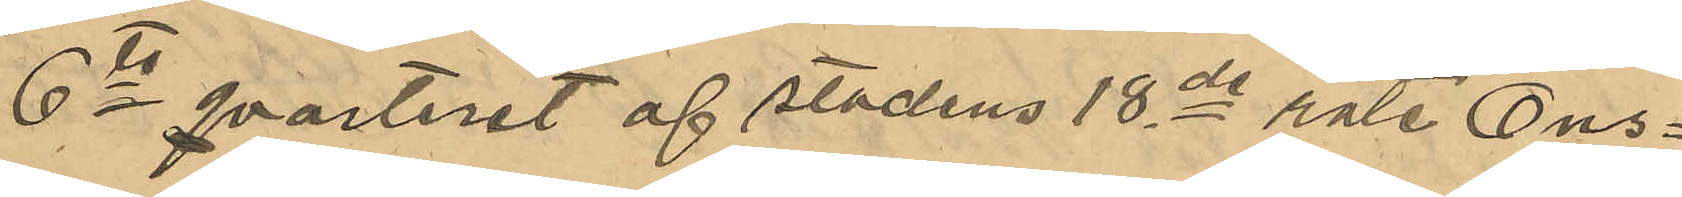6te qvarteret af stadens 18de rote Ons¬
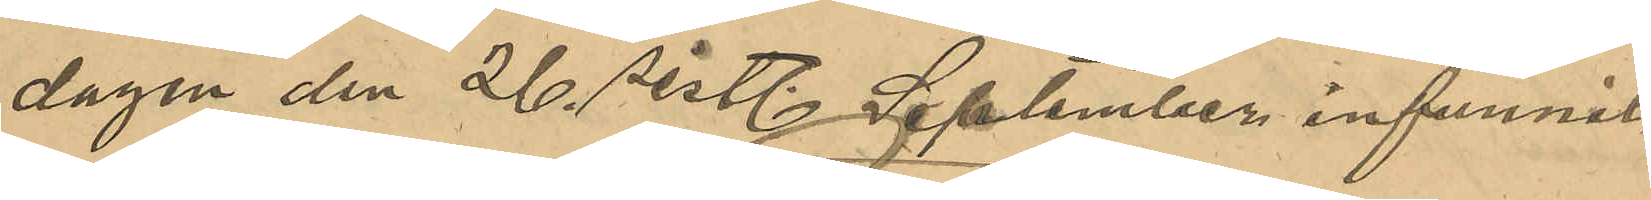dagen den 26 sistl September infunnit
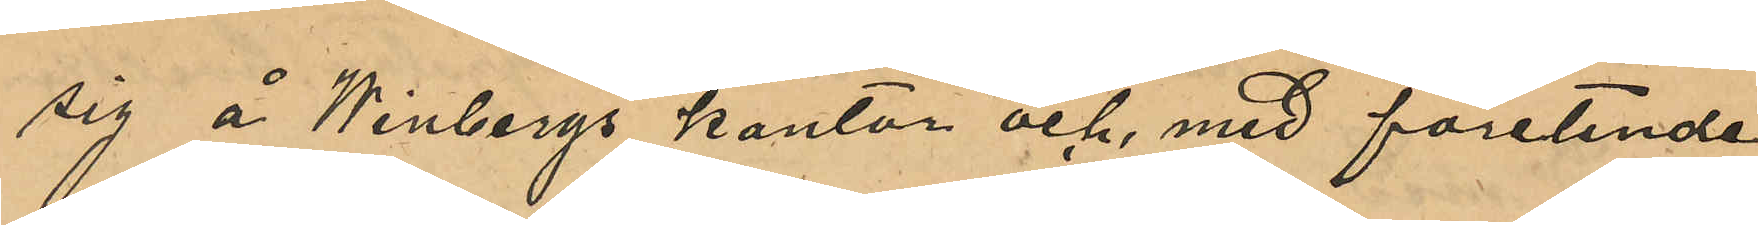sig å Winbergs kontor och, med företende
